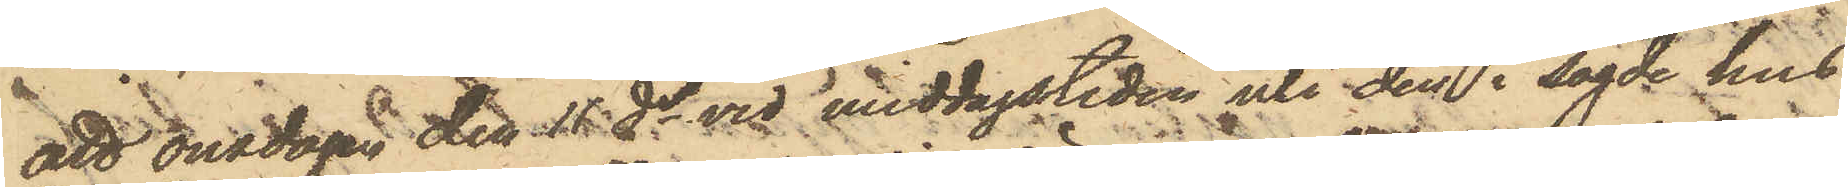att onsdagen den 11 ds vid middagstiden uti den i sagde hus
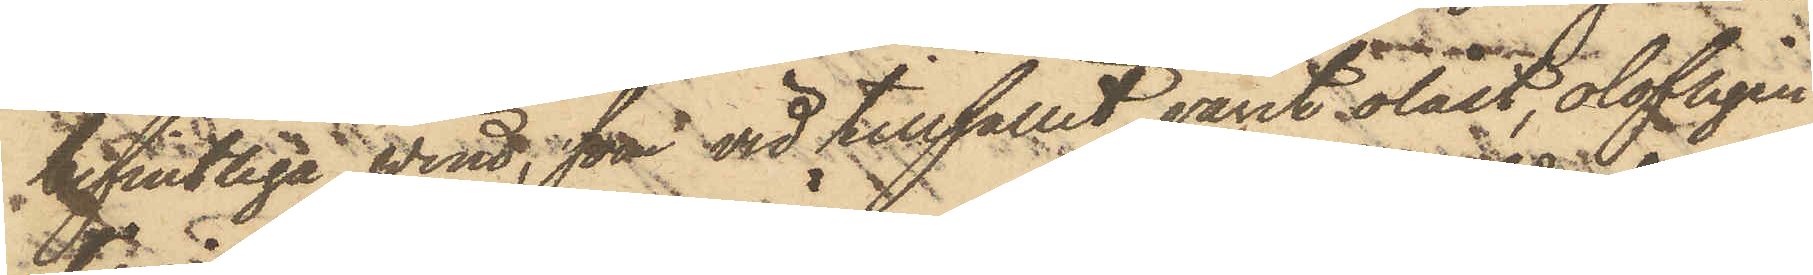befintliga wind, som vid tillfället varit olåst, olofligen
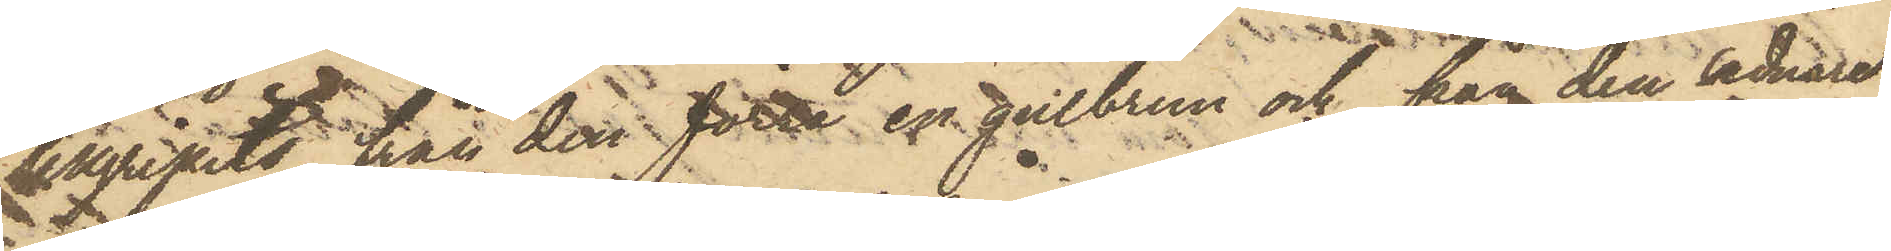tillgripits från den förra en gulbrun och från den sednare
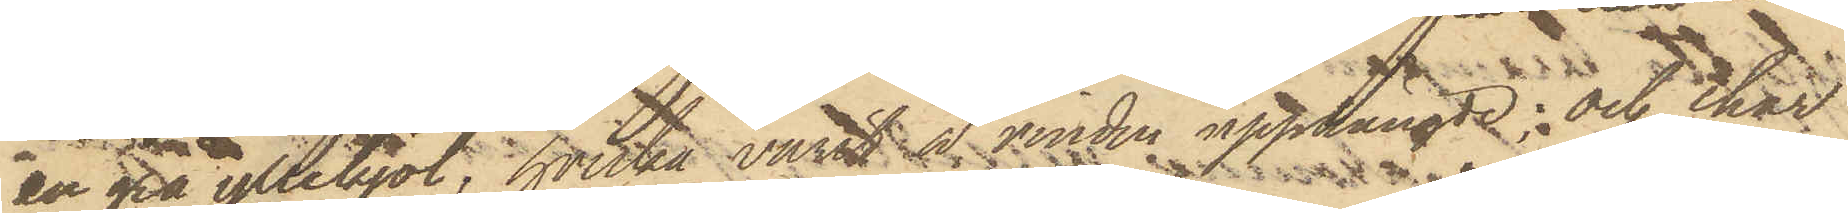en grå yllekjol; hvilka varit å vinden upphängde; och har
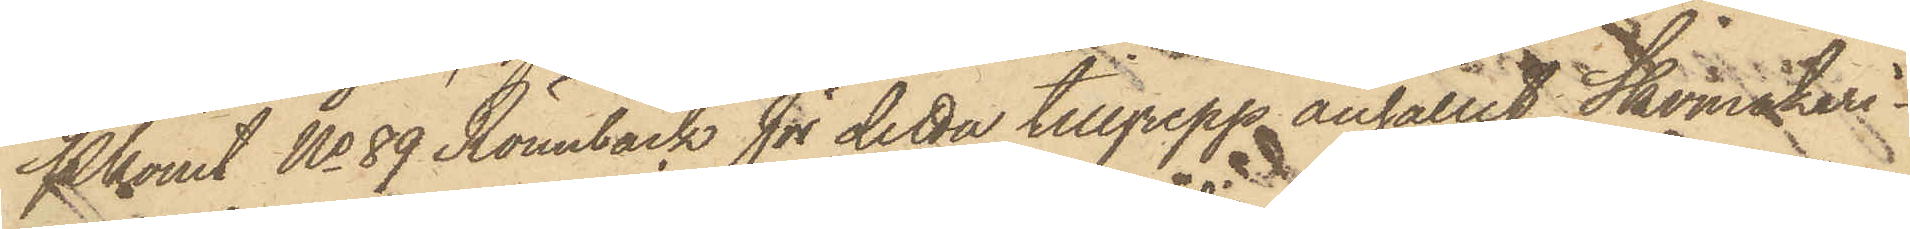Pkonst No 89 Rönnbäck för detta tillgrepp anhållit Skomakeri¬
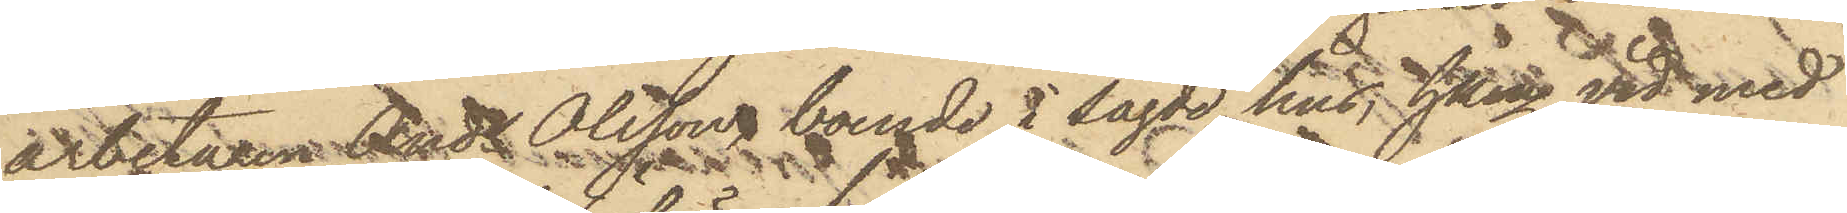arbetaren Ands Olsson, boende i sagde hus, hken vid med
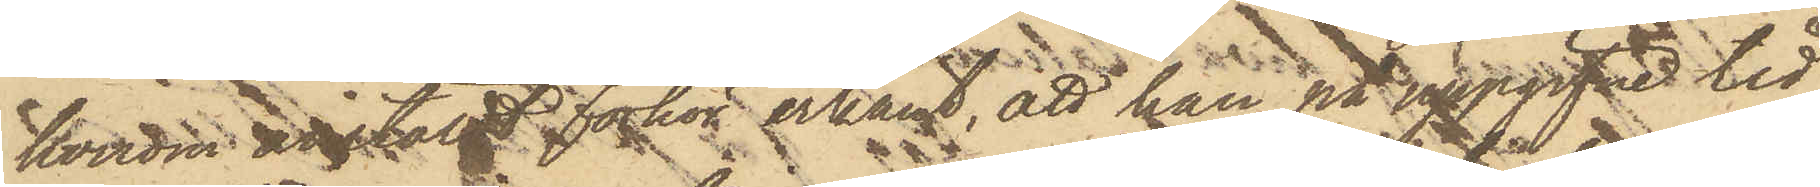honom anstäldt förhör erkänt, att han på uppgifne tid
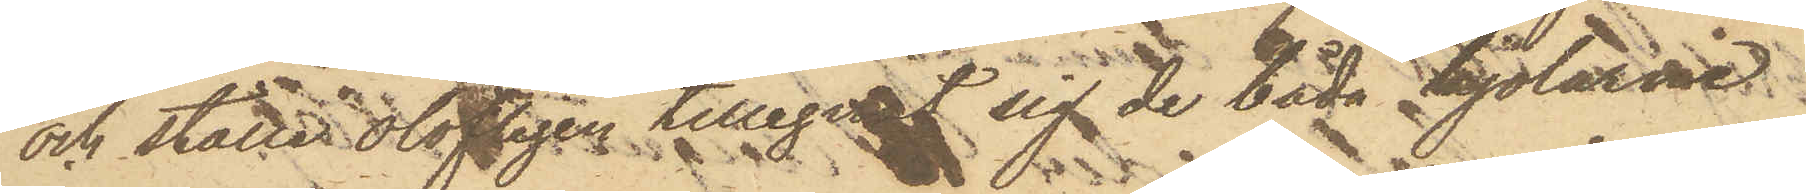och ställe olofligen tillegnat sig de båda kjolarne.
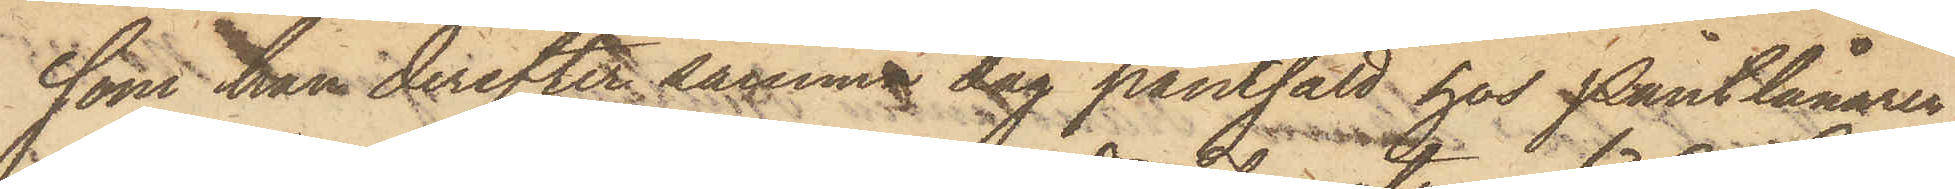som han derefter samma dag pantsatt hos Pantlånaren
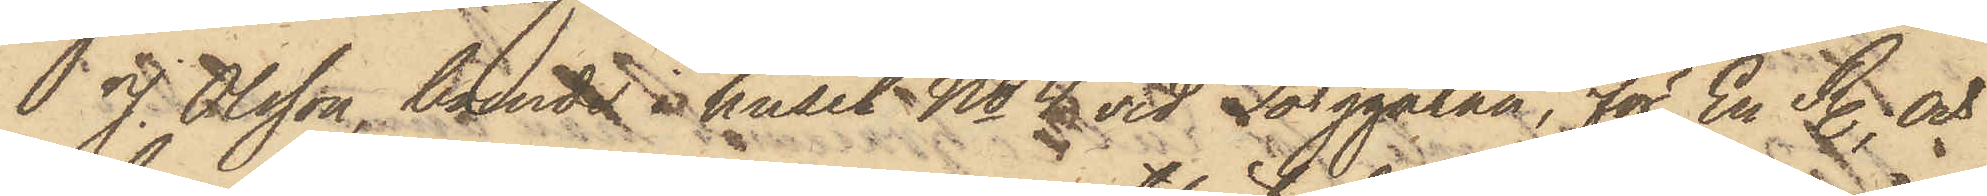J. Olsson, boende i huset No 4 vid Torggatan, för En R., och
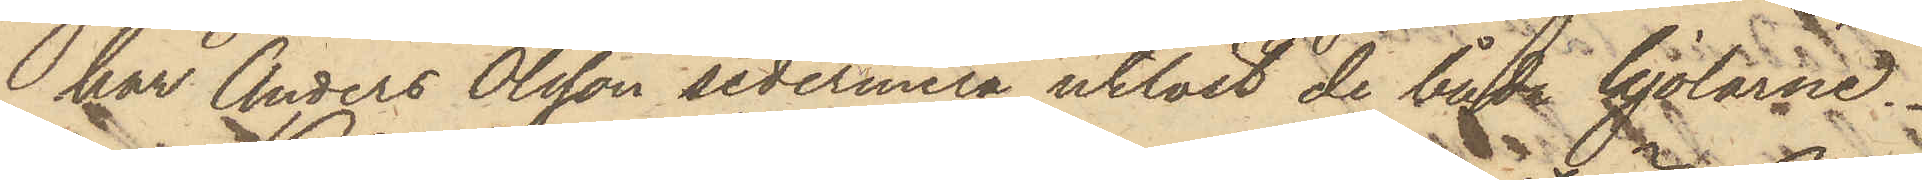har Anders Olsson sedermera utlöst de båda kjolarne.
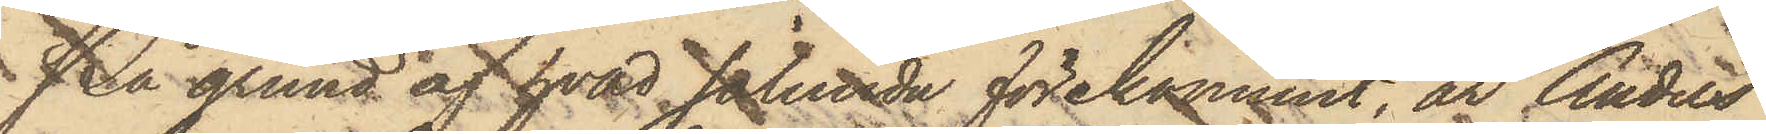På grund af hvad sålunda förekommit, är Anders
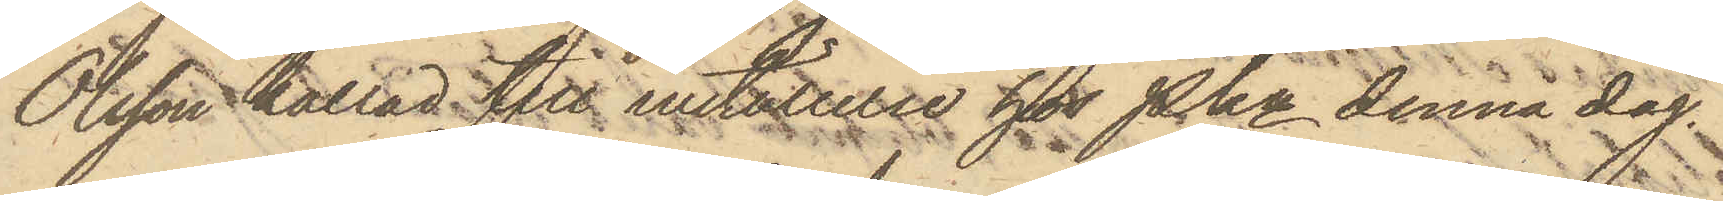Olsson kallad till inställelse för Pkn denna dag.
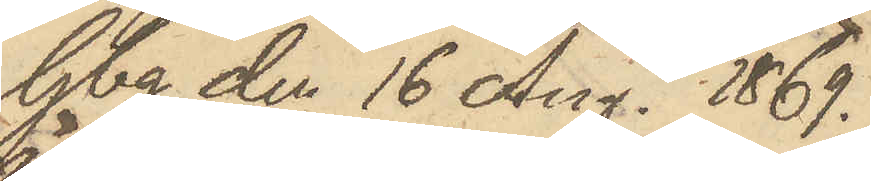Gbg den 16 Aug. 1869.
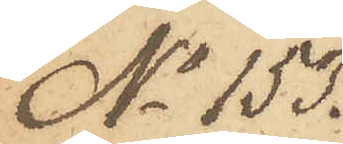No 153.
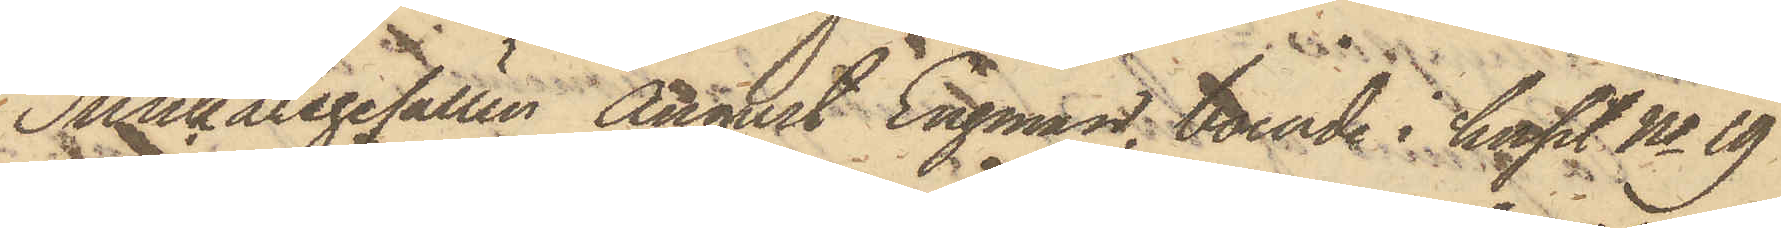Snickaregesällen Angust Engman, boende i huset No 19
